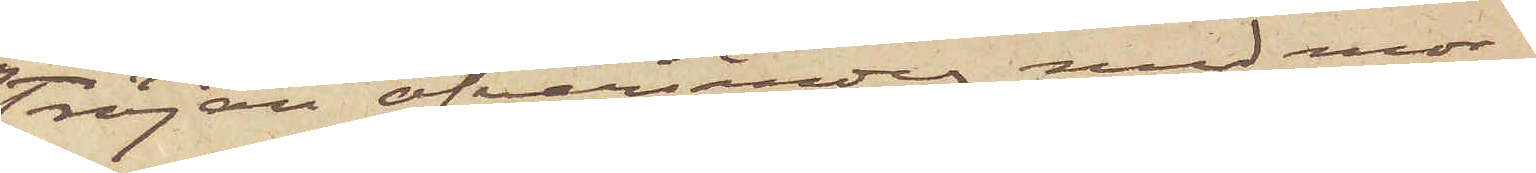Tröjan öfversändes med mor¬
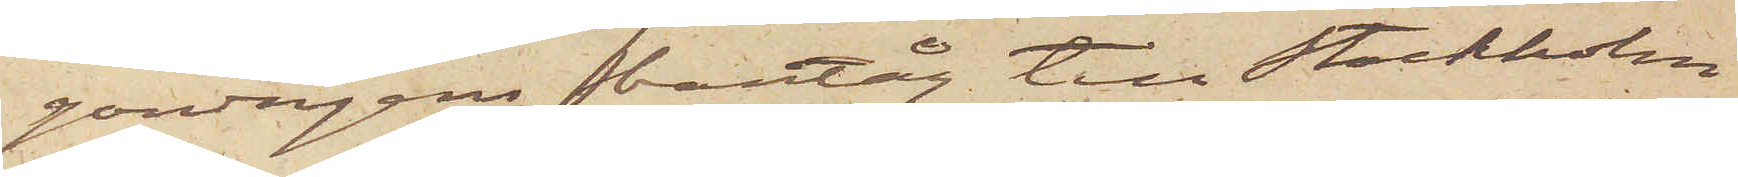gondagens bantåg till Stockholm
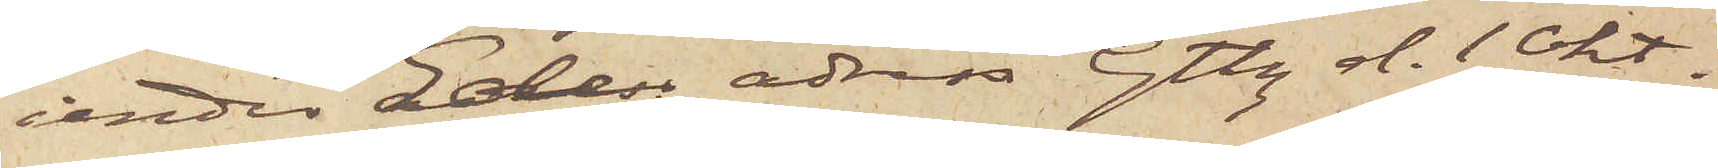under Eder adress Gtbg d. 1 Okt
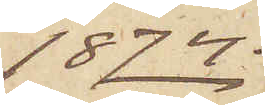1874.
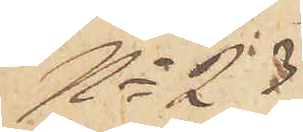No 23
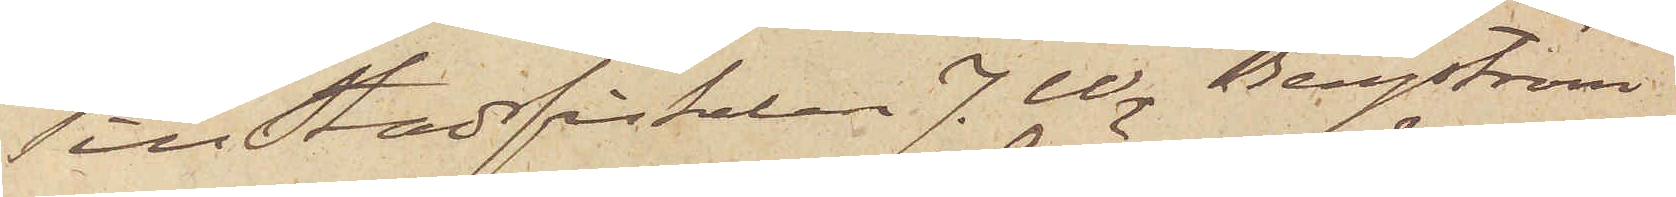Till Stadsfiskalen J. W. Bergström
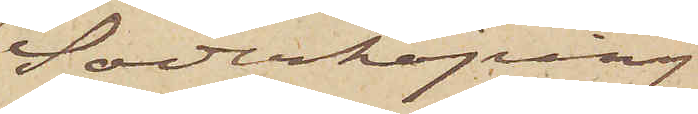Söderköping
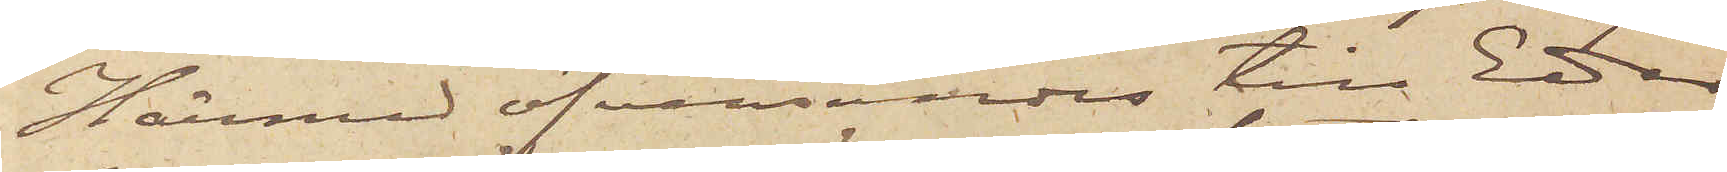Härmed öfversändes till Eder
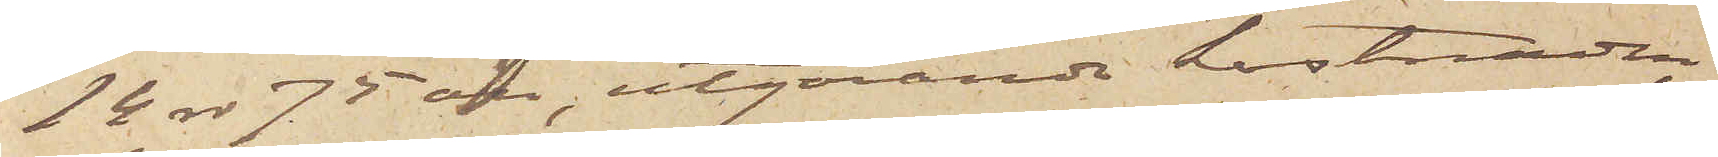14 rdr 75 öre, utgörande kostnaden
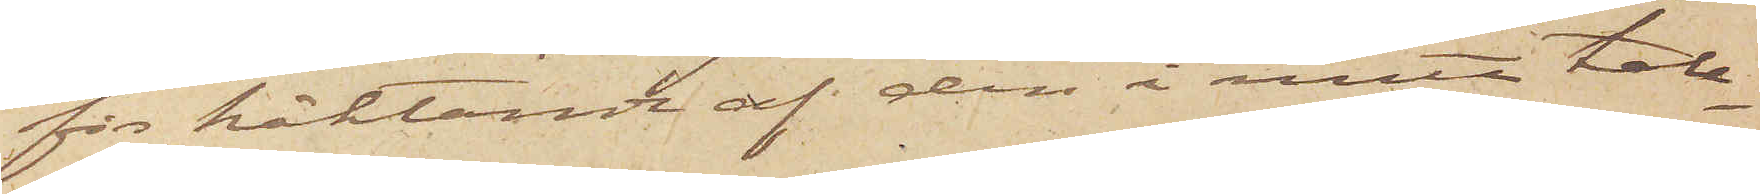för häktande af den i mitt tele¬
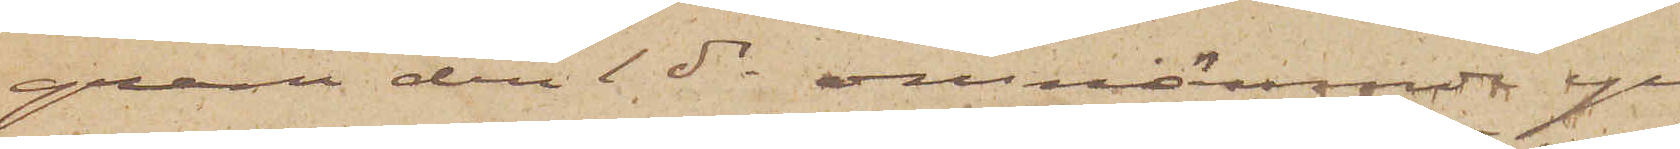gram den 1 ds omnämnde ge¬
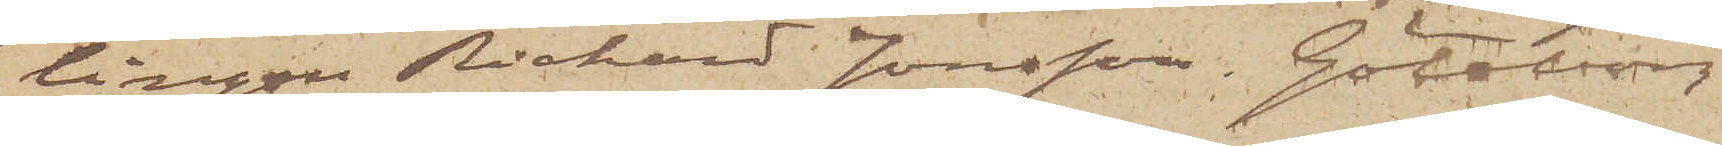lingen Richard Jonsson. Göteborg
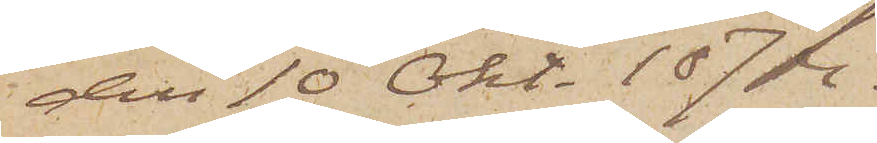den 10 Okt. 1874.
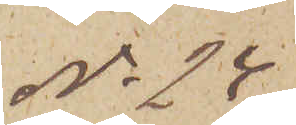No 24
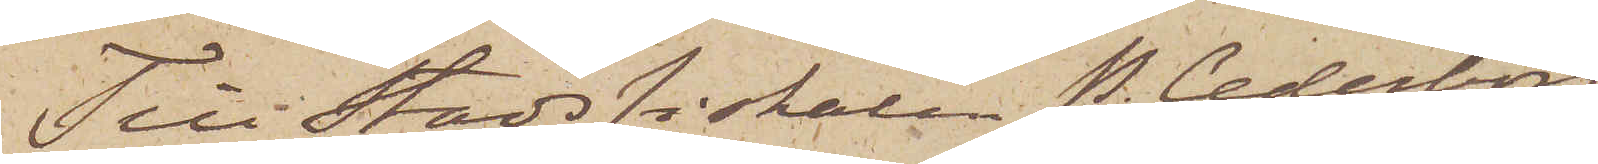Till Stadsfiskalen P. Cederborg
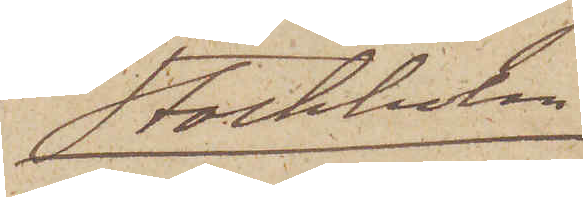Stockholm
